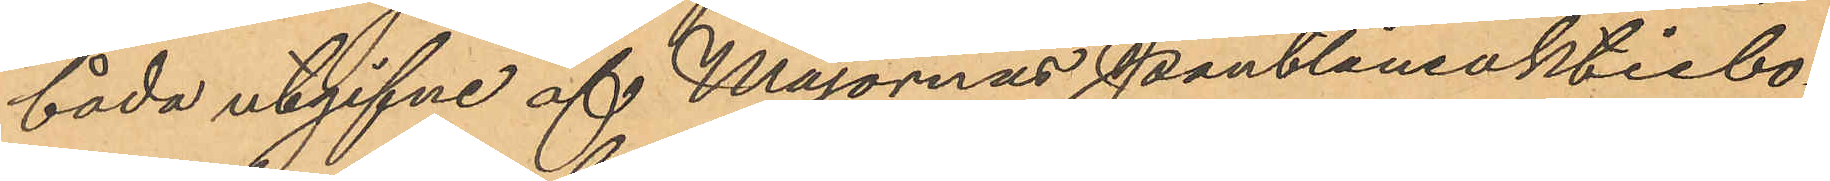båda utgifne af Majornas Pantlåneaktiebo¬
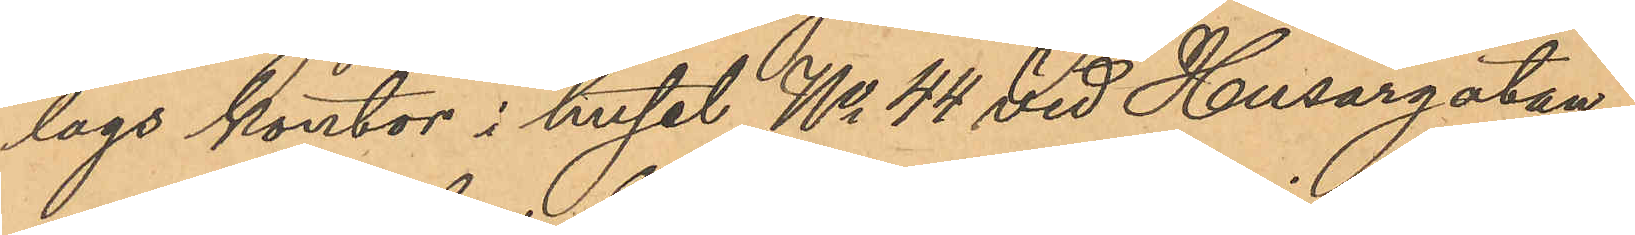lags kontor i huset No 44 vid Husargatan;
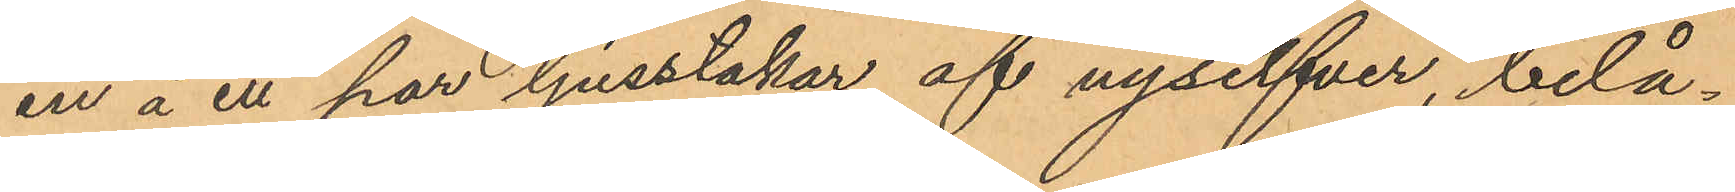en å ett par ljusstakar af nysilfver, belå¬
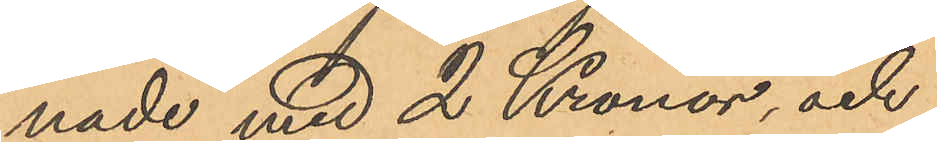nade med 2 Kronor, och
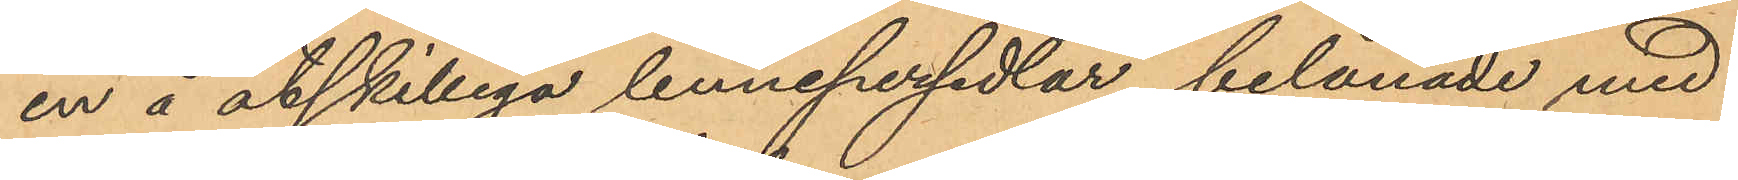en å åtskilliga linnepersedlar belånade med
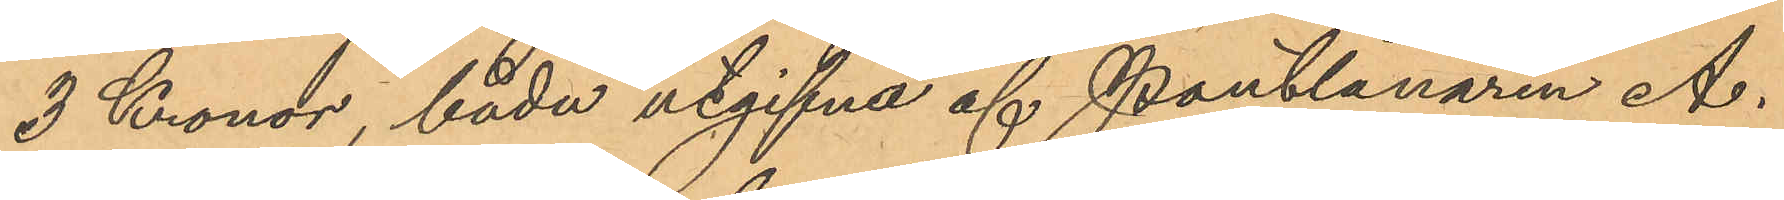3 Kronor, båda utgifna af Pantlånaren A.
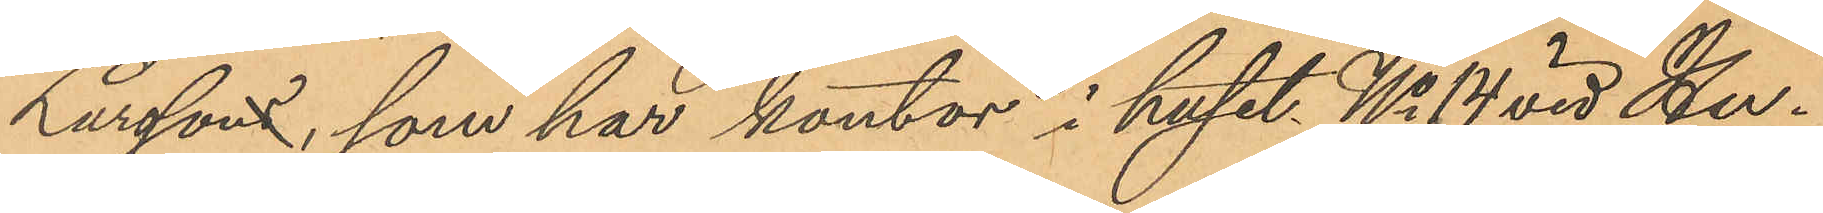Larsson, som har kontor i huset No 14 vid Hu¬
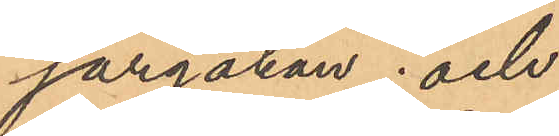sargatan; och
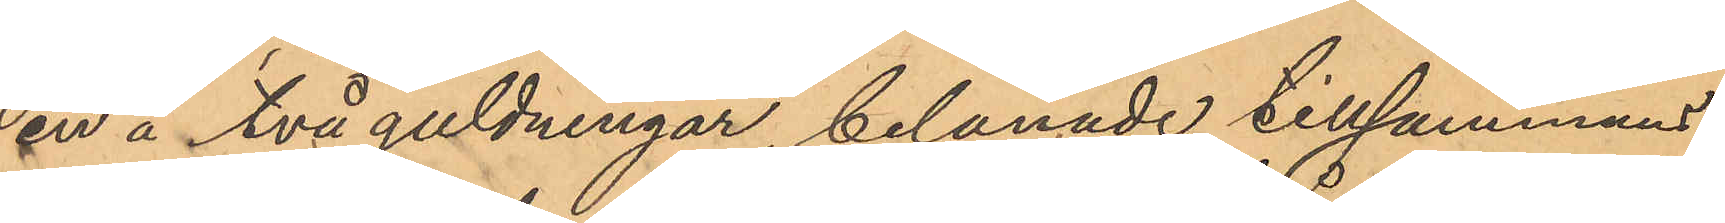en å två guldningar belånade tillsammans
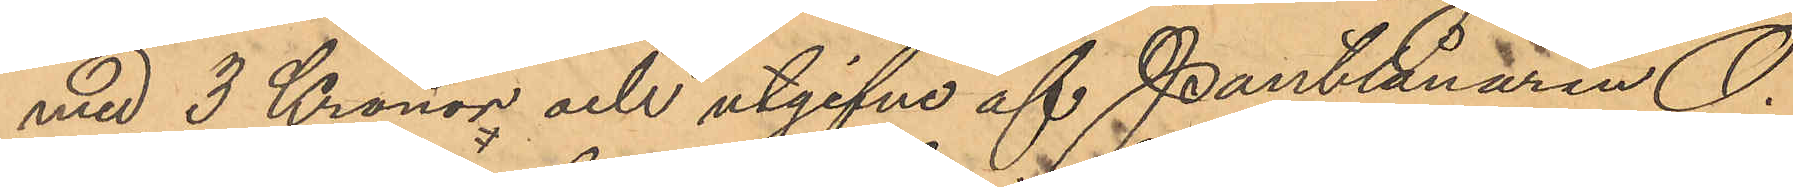med 3 Kronor och utgifne af Pantlånaren O.
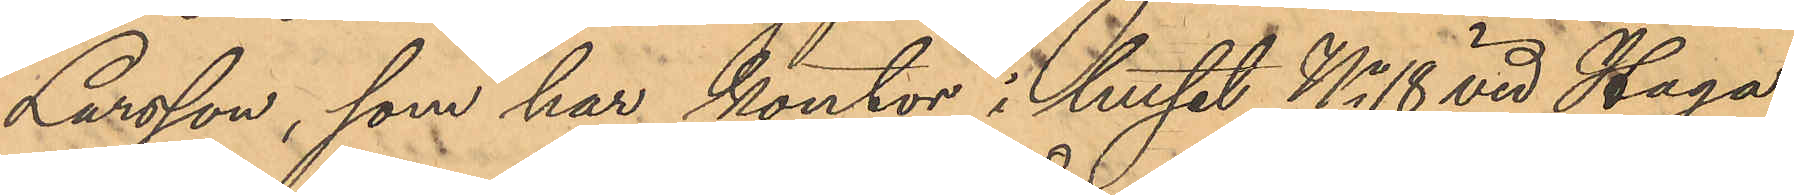Larsson, som har kontor i huset No 18 vid Haga
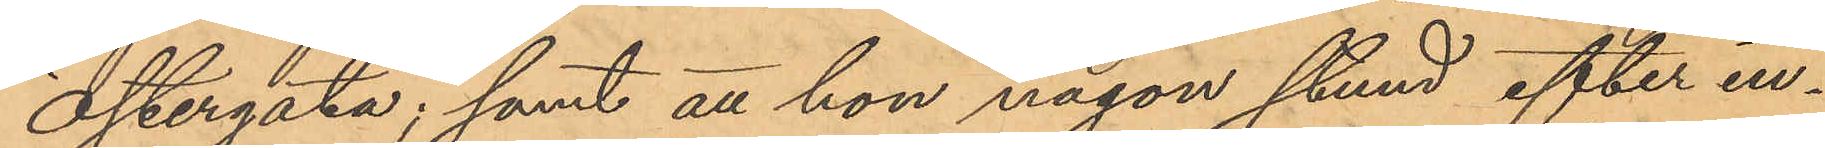Östergata; samt att han någon stund efter in¬
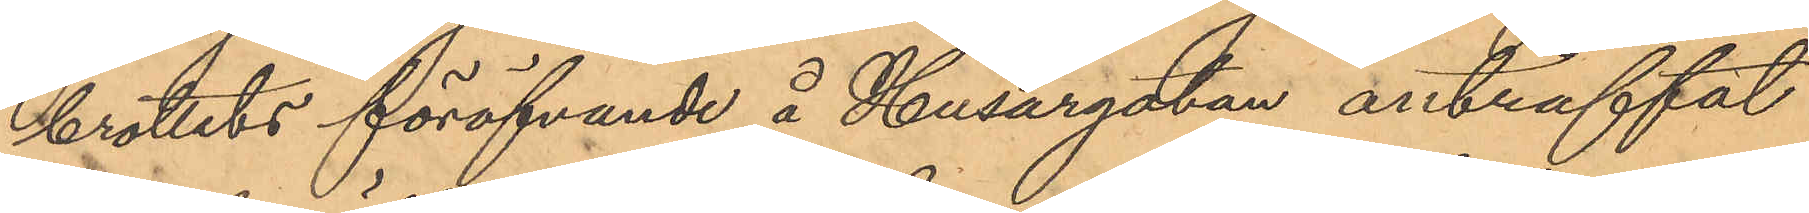brottets föröfvande å Husargatan anträffat
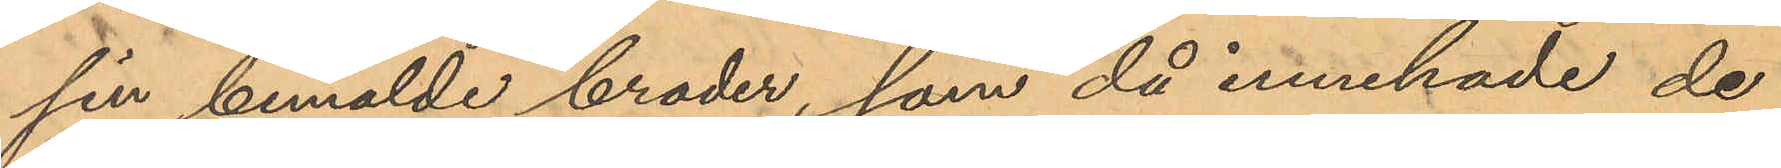sin bemälde broder, som då innehade de
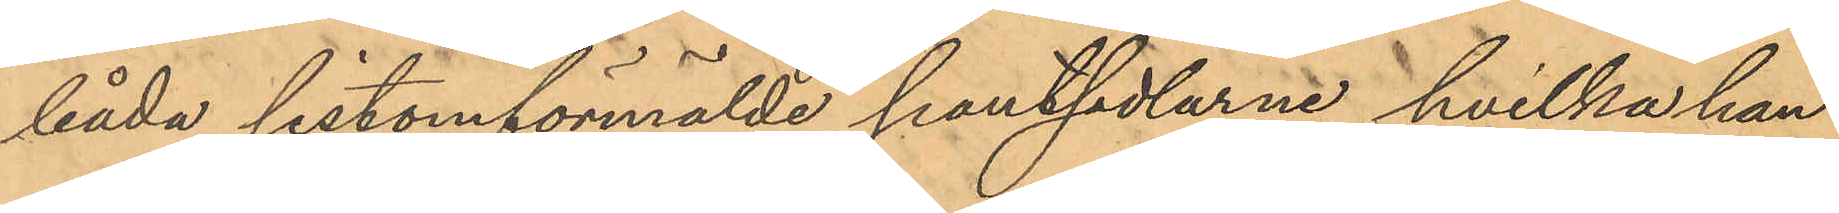båda sistomförmälde pantsedlarne, hvilka han
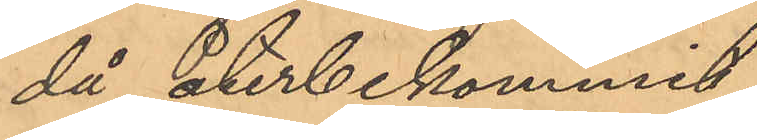då återbekommit.
